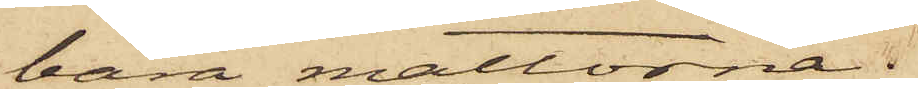bära mattorna.
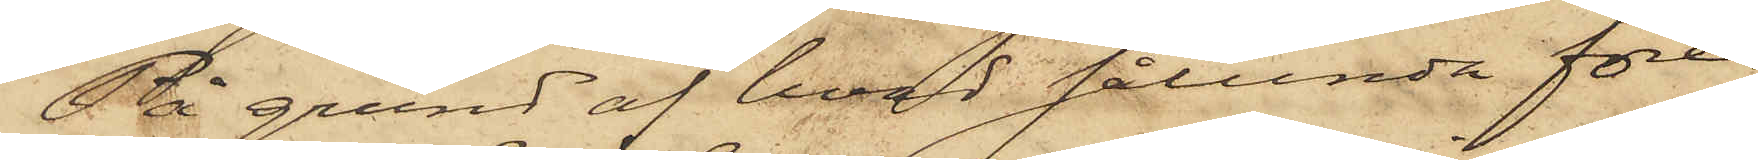På grund af hvad sålunda före¬
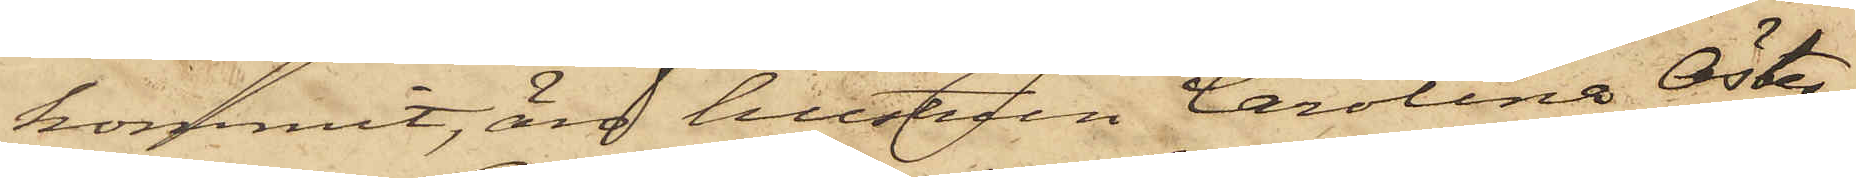kommit, äro hustrun Carolina Öster¬
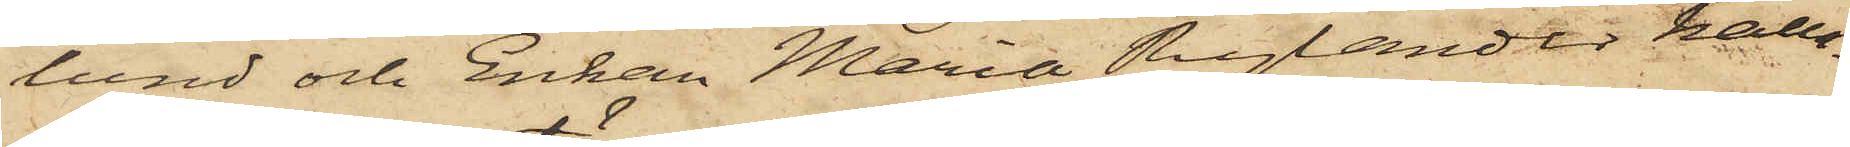lund och Enkan Maria Rylander kalla¬
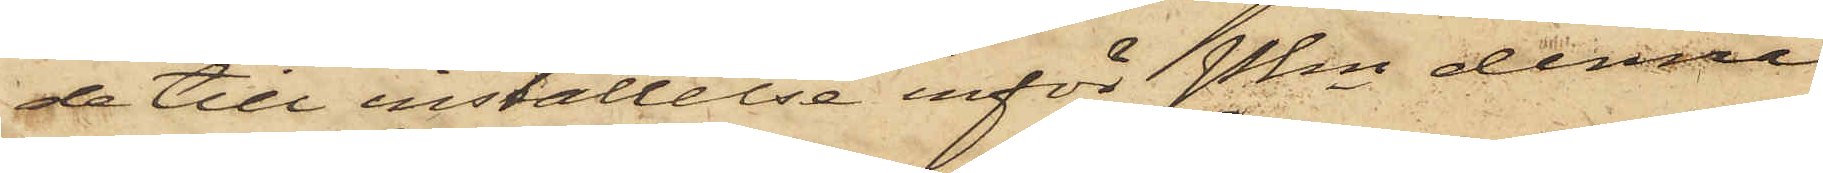de till inställelse inför Pkn denna
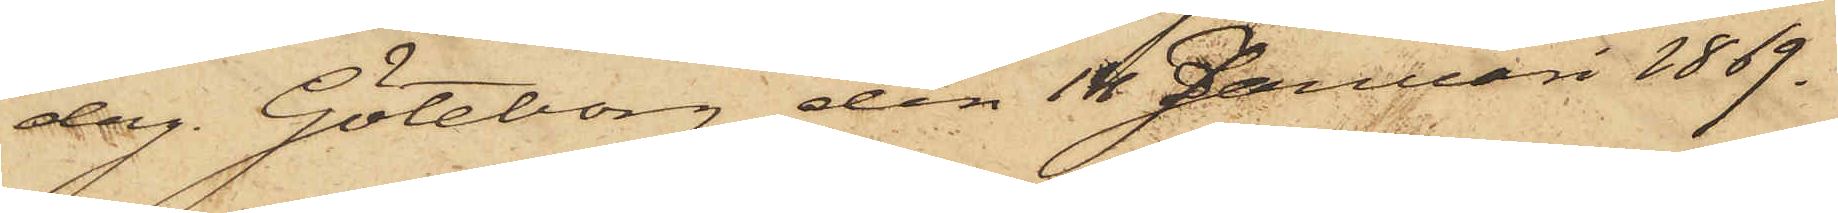dag. Göteborg den 14 Januari 1869.
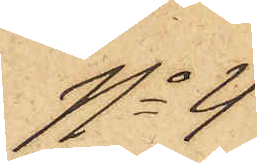No 4
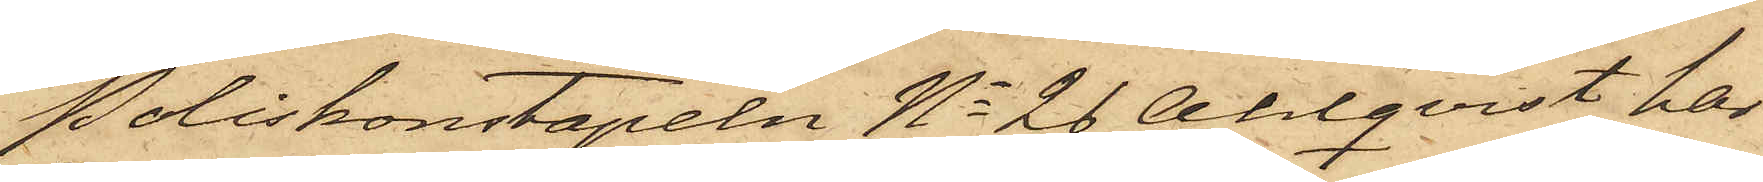Poliskonstapeln No 26 Ahlqvist har
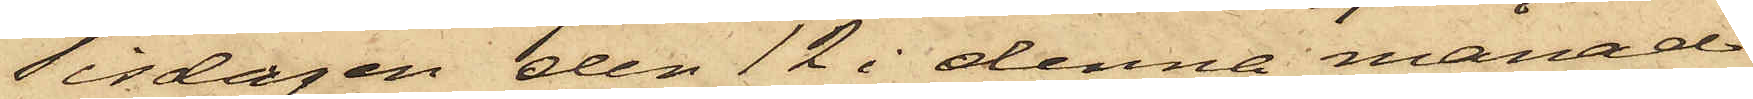Tisdagen den 12 i denna månad
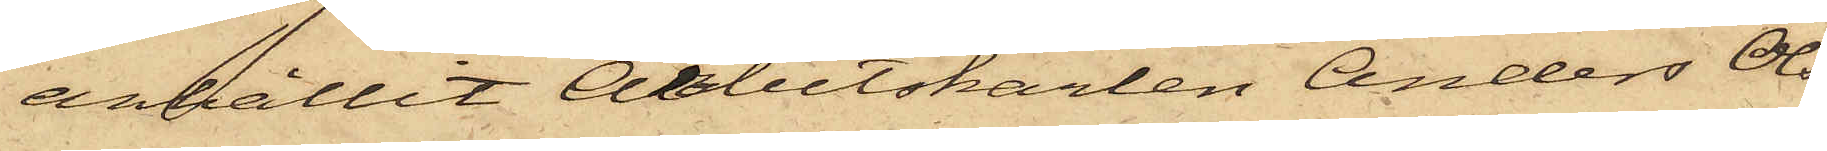anhållit Arbetskarlen Anders Ols¬
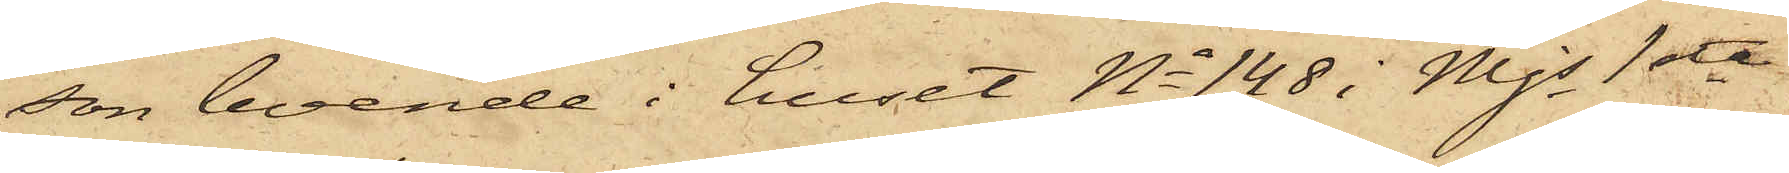son boende i huset No 148 i Mjs 1sta
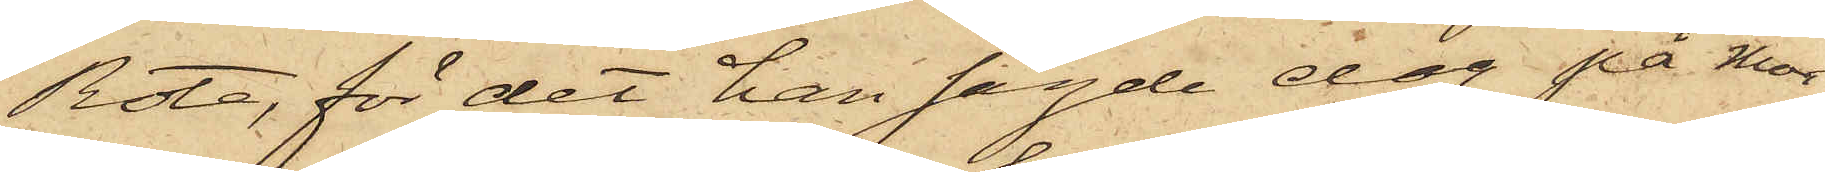Rote, för det han sagde dag på mor¬
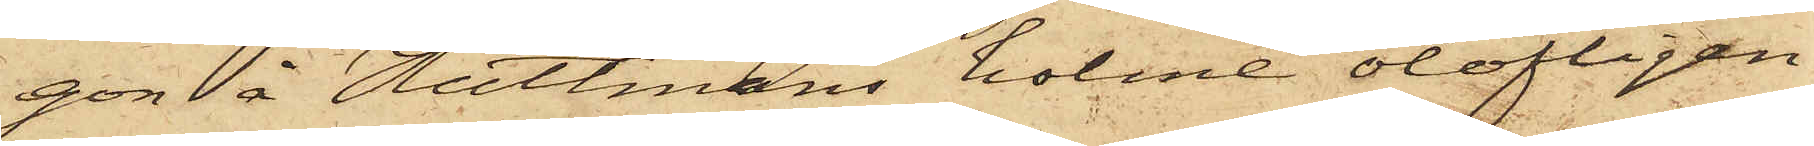gon å Hultmans holme olofligen
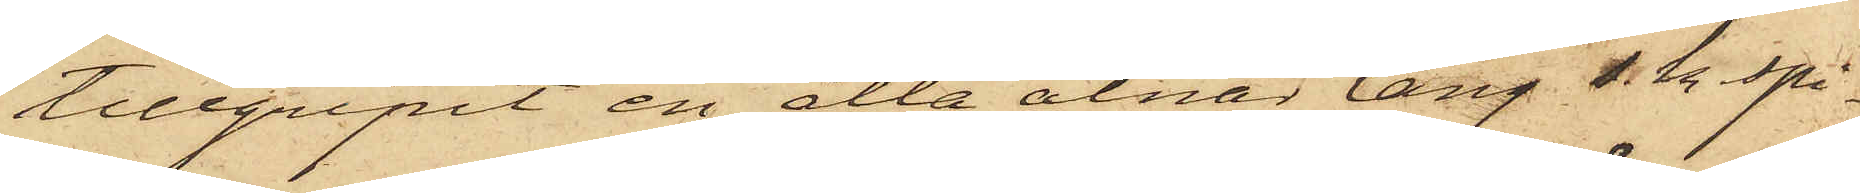tillgripit en åtta alnar lång s.k. spi¬
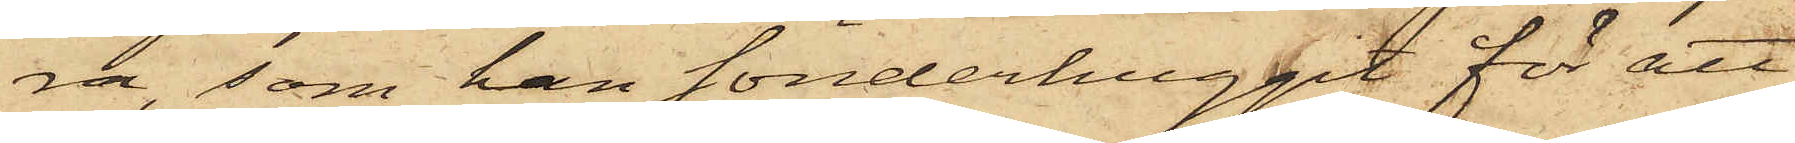ra, som han sönderhuggit för att
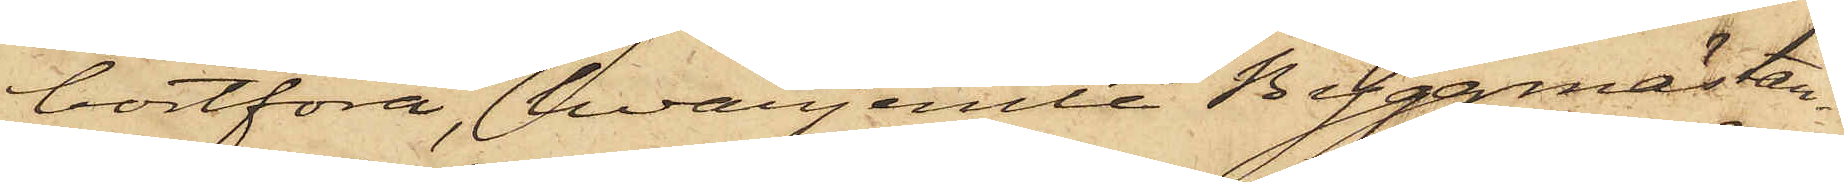bortföra, hvarjemte Byggmäster¬
